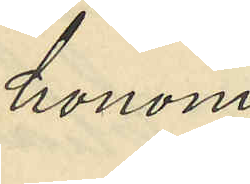honom
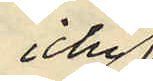icke
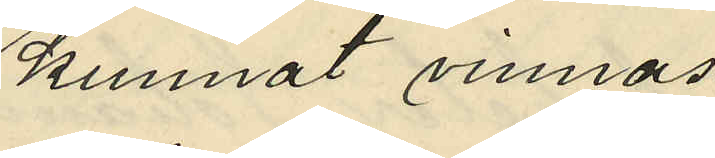kunnat vinnas.
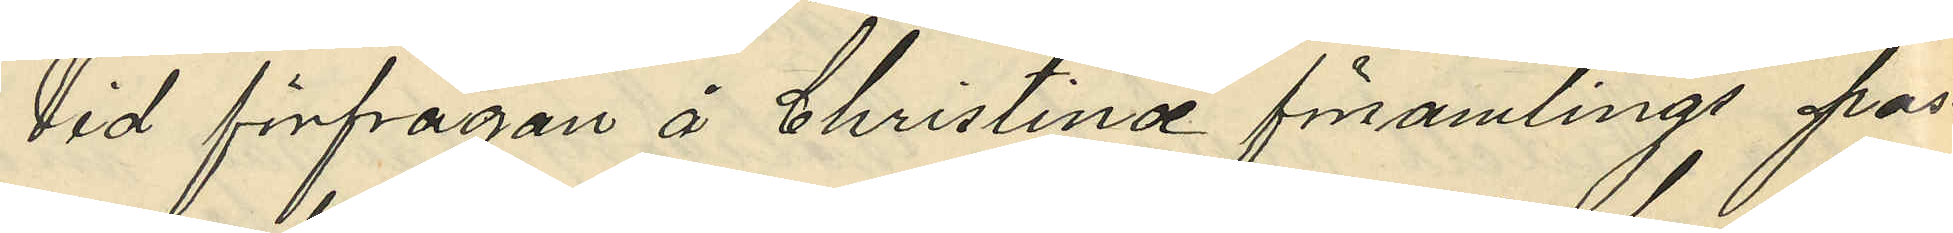Vid förfrågan å Christinæ församlings pas¬
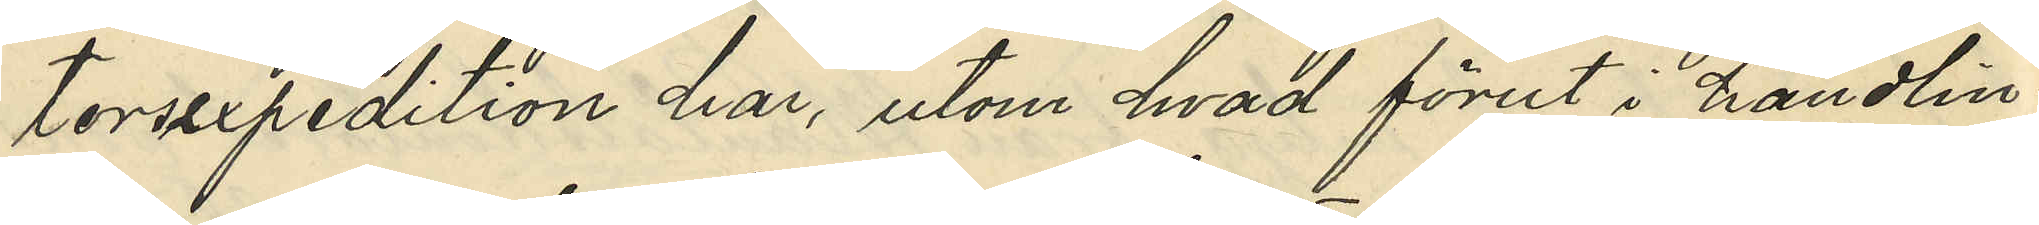torsexpedition har, utom hvad förut i handlin¬
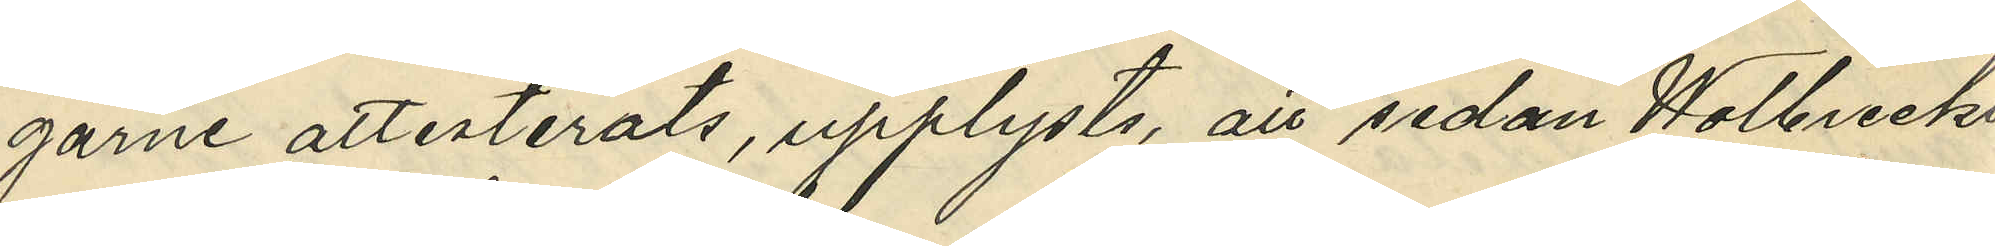garne attesterats, upplysts, att sedan Wolbreckt
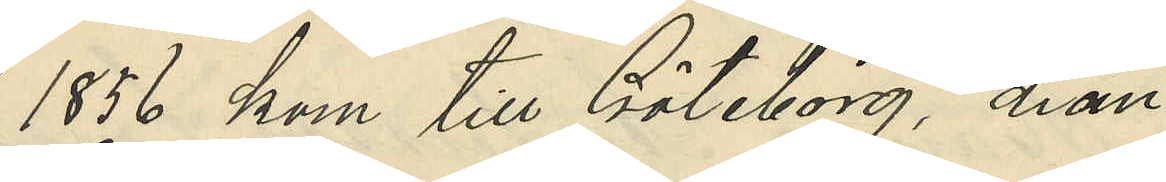1856 kom till Göteborg, han
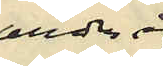under år
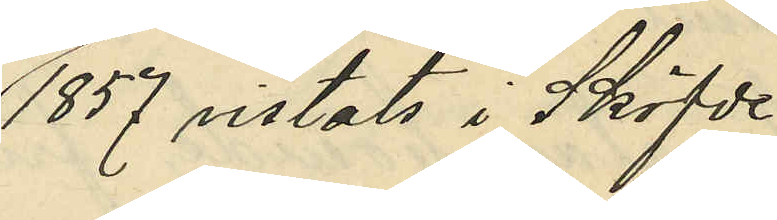1857, vistats i Sköfde
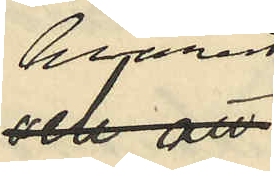hvarest
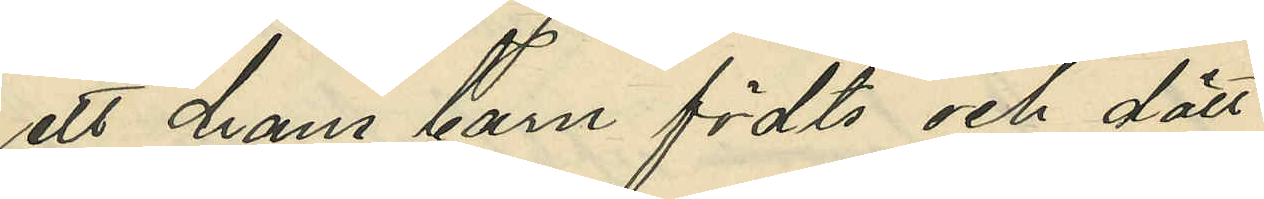ett hans barn födts och dött
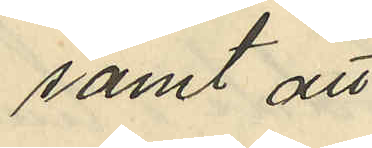samt att
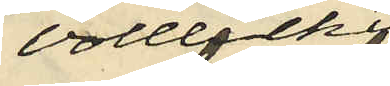Volbreckts
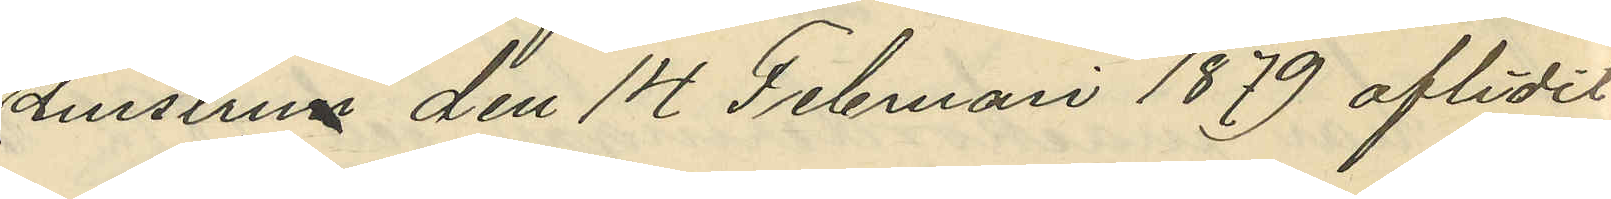hustrun den 14 Februari 1879 aflidit
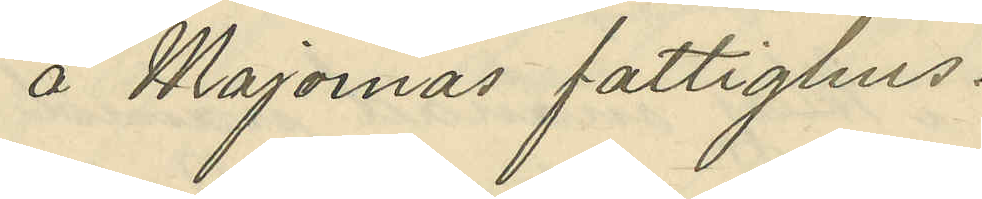å Majornas fattighus.
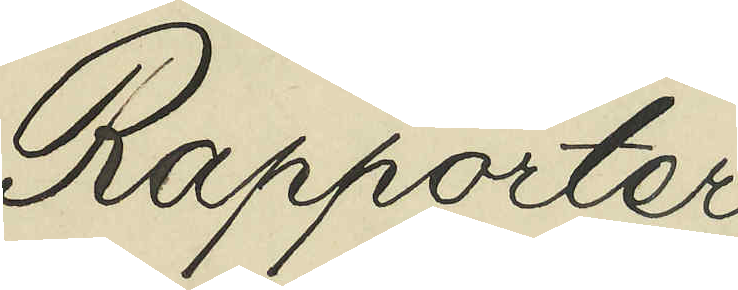Rapporter
